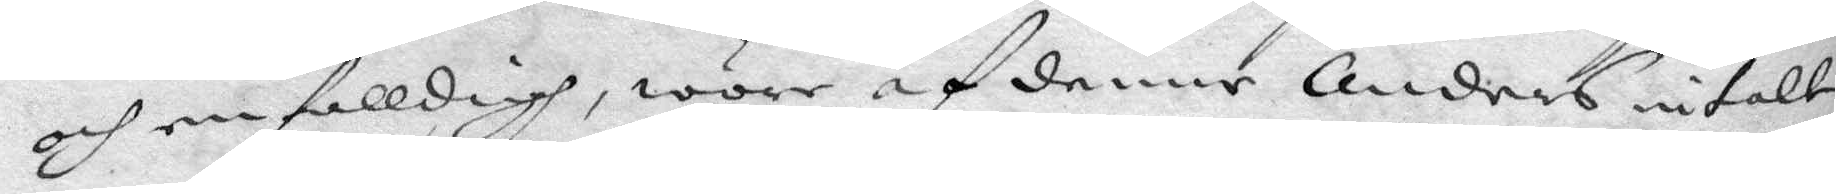och enfalldigh, wore af denne Anders intalt
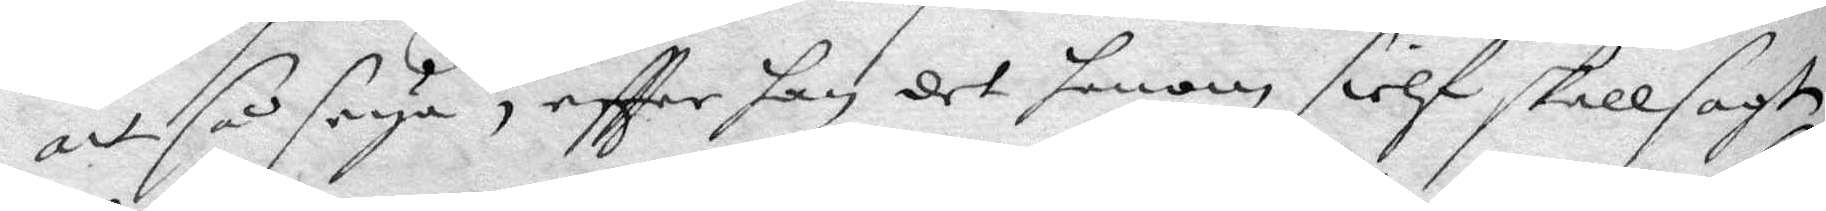att så seya, effter han det honom sielf skall sagt
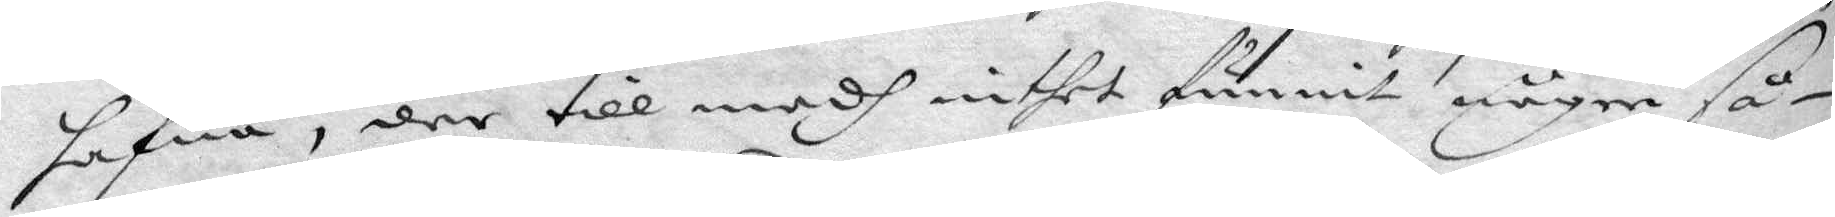hafwa, der till medh inthet funnit någre så¬
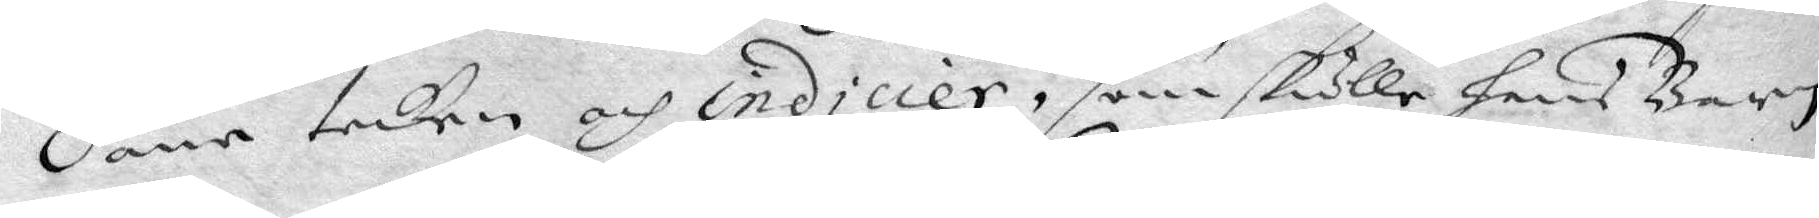dene tecken och indicier, som skulle hans Barn
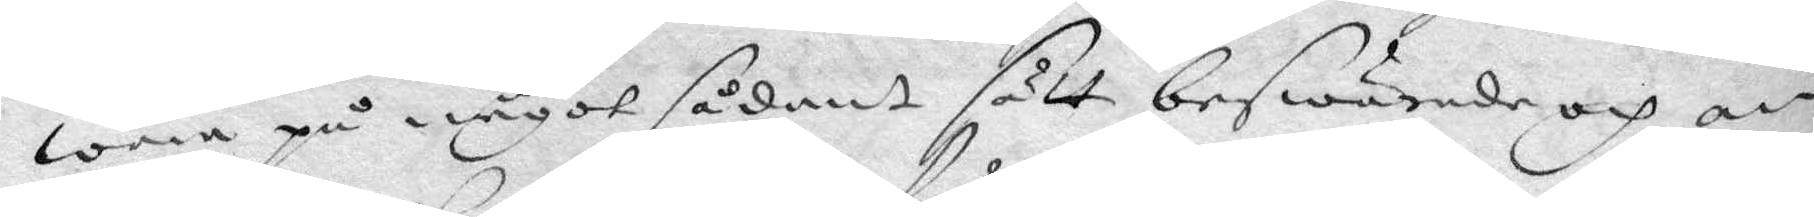wara på något sådant sätt beswärade och an¬
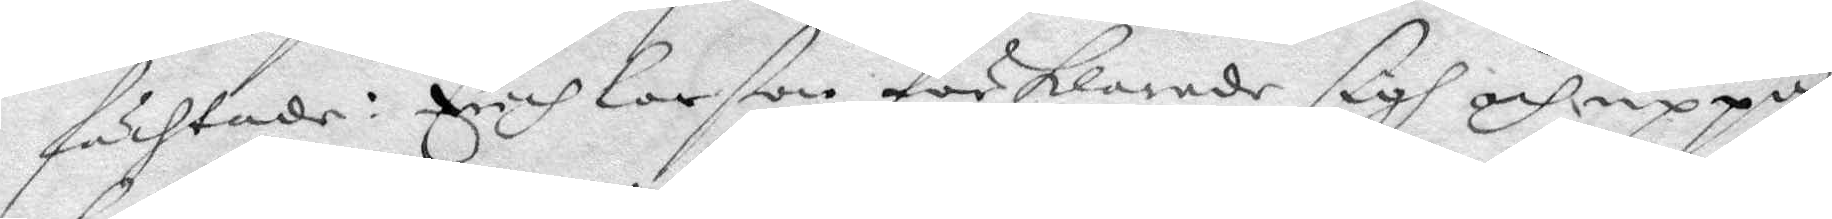fächtade, Erich Larßon förklarade sigh och uppå
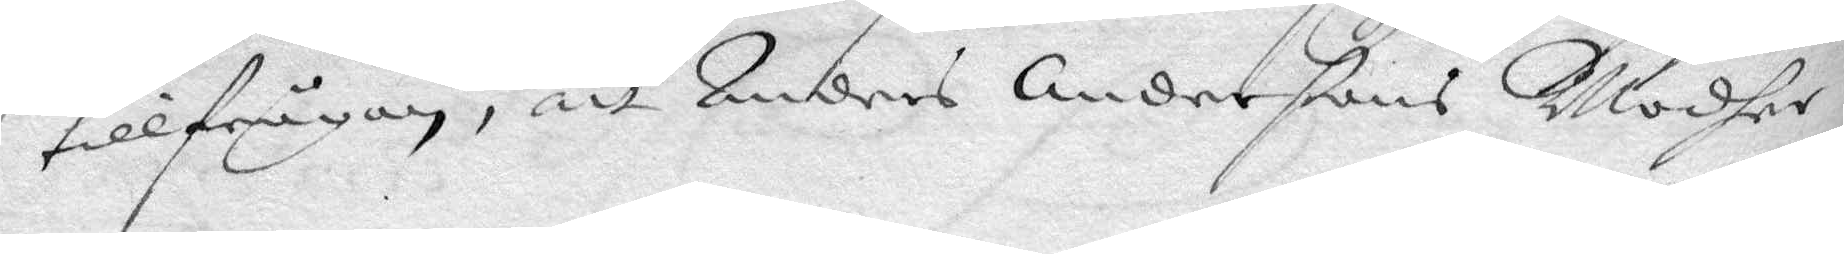tillfrågan, att Anders Andersons Modher
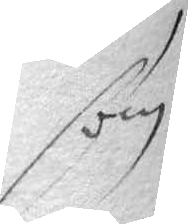som
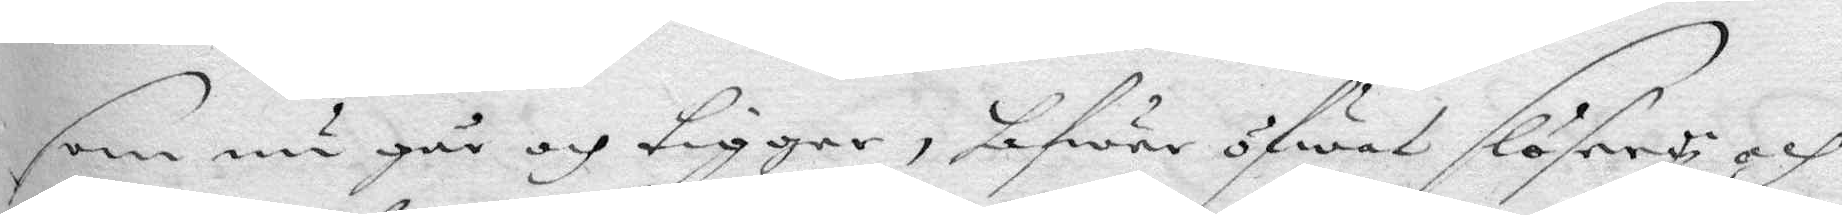som nu går och tigger, hafwer öfwat slösery och
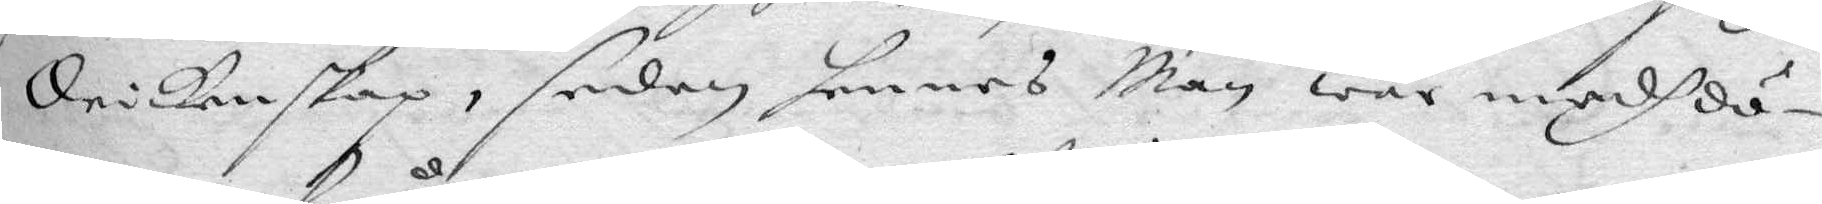drickenskap, sedan hennes Man war medh dö¬
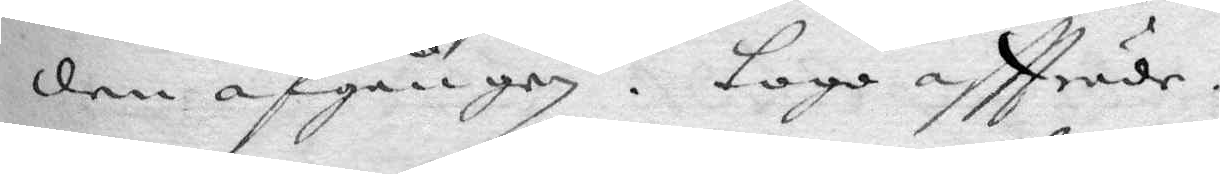den afgången. Tago affträde.
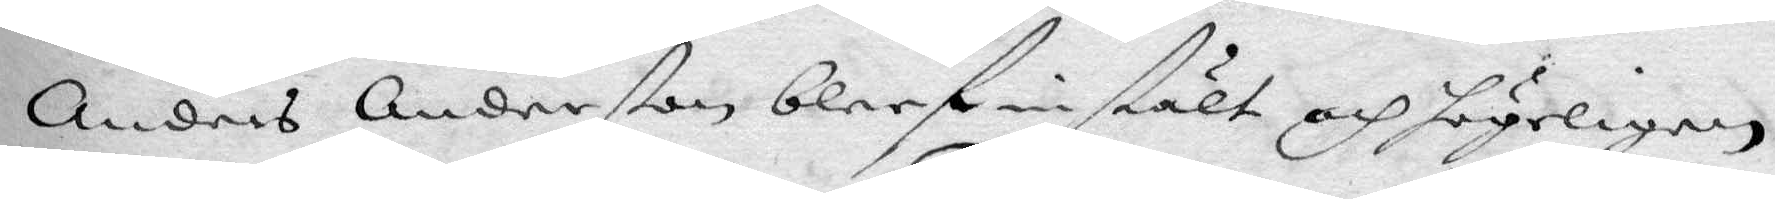Anders Anderßon bleef instält och högeligen
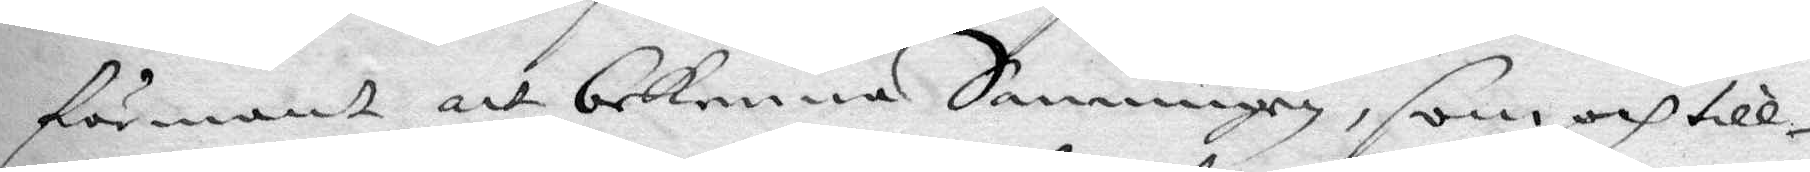förmant att bekenna Sanningen, som och till¬
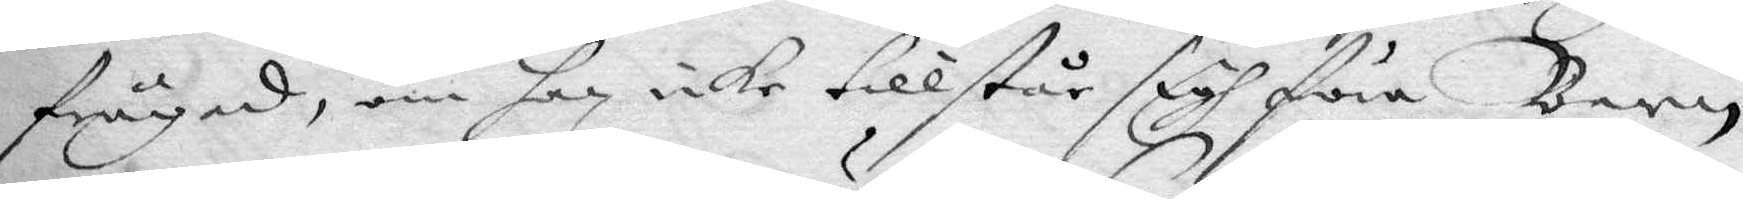frågad, om han icke tillstår sigh föra Barn
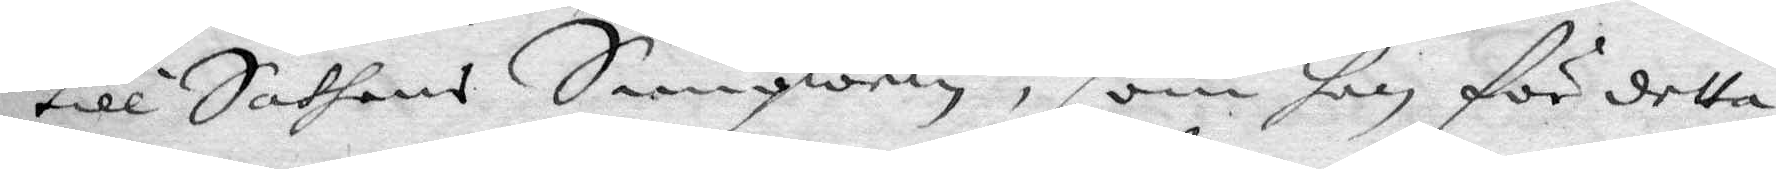till Sathans Samqwem, som han för detta
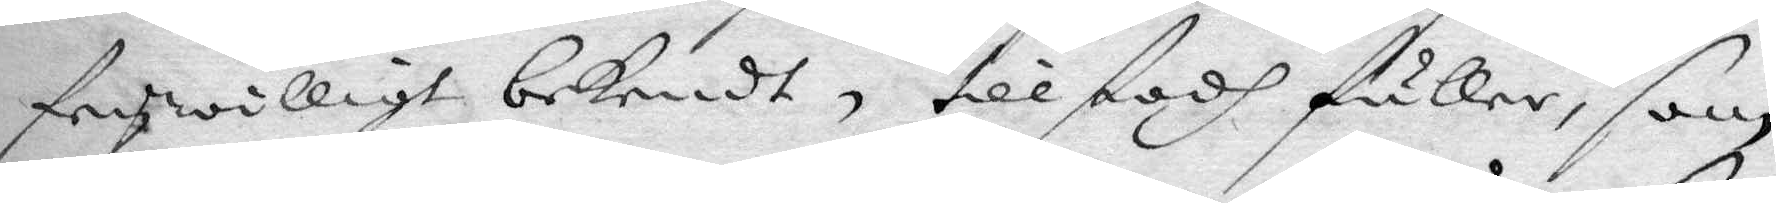frywilligt bekendt, tillstodh fuller, som
